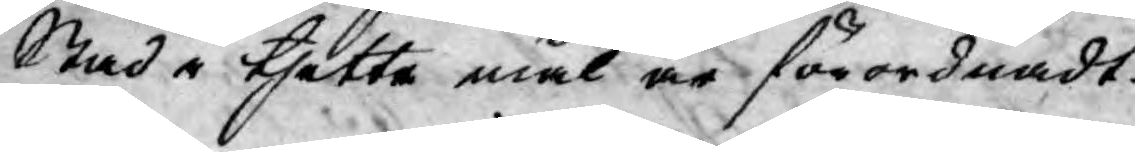Stad i thetta mål är förordnadt.
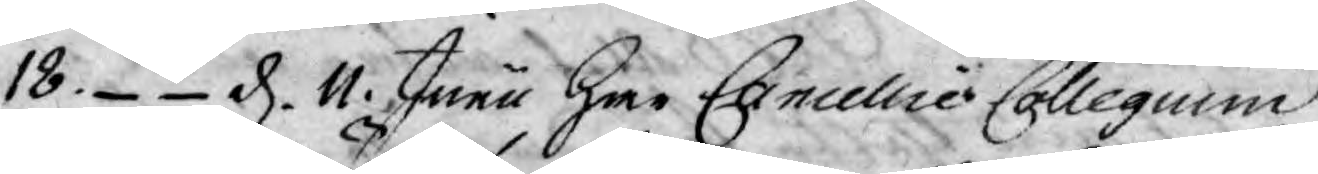18. - - d. 11. Junii Har Cancellie Collegium
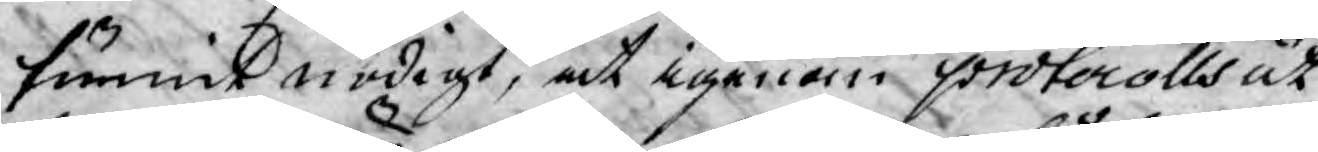funnit nödigt, at igenom protocolls ut¬
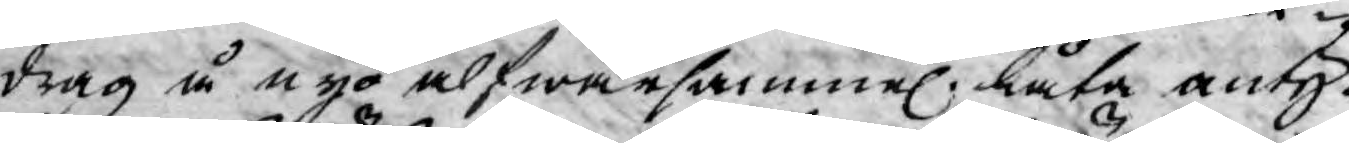drag å nyo alfwarsammel. låta anty¬
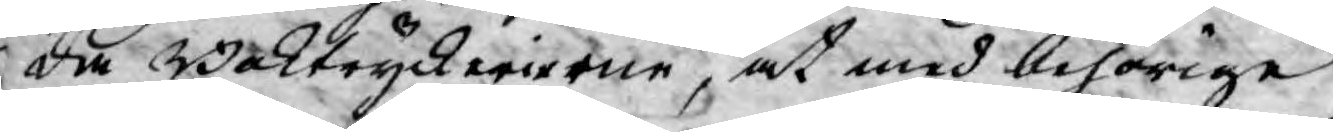da Boktryckerierne, at med behörige
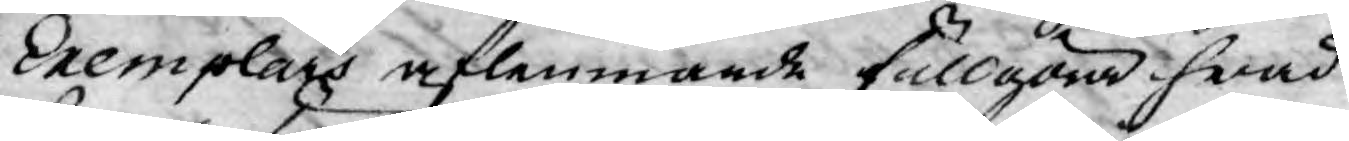Exemplars aflemmande fullgöra hwad
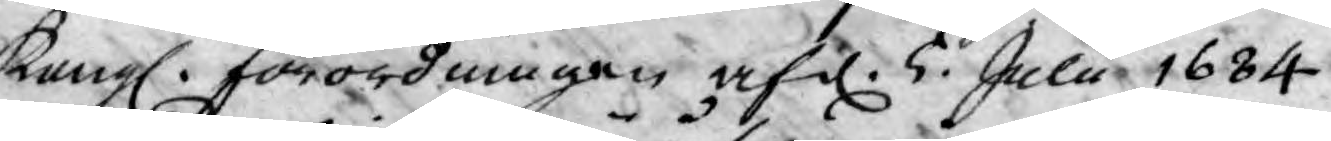Kongl. förordningen af d. 5. Julii 1684.
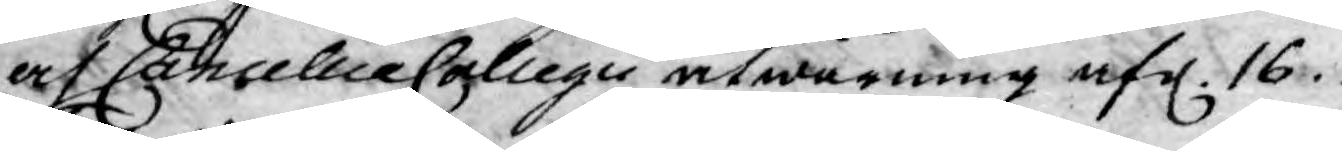af Cancellie Collegii åtwarning af d. 16.
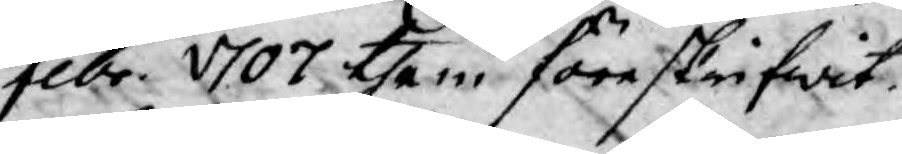Febr. 1707 them föreskrifwit.
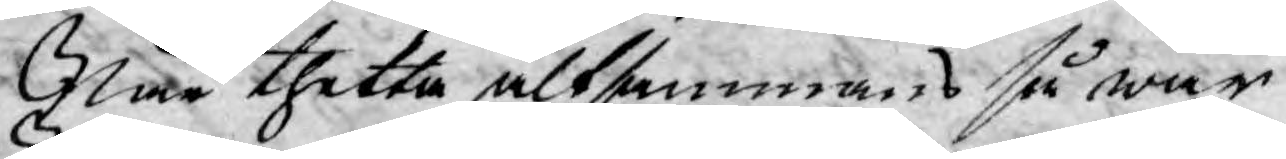När thetta altsammans så war
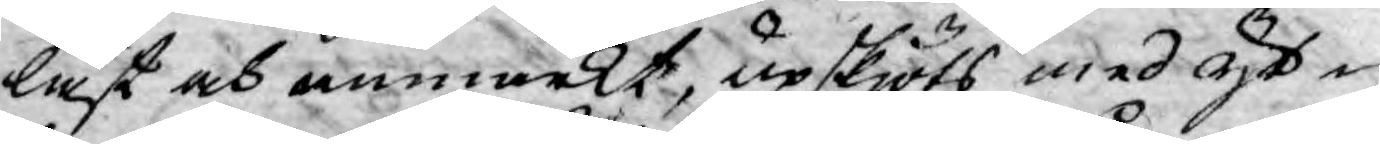läst och anmärkt, upskjöts med yt¬
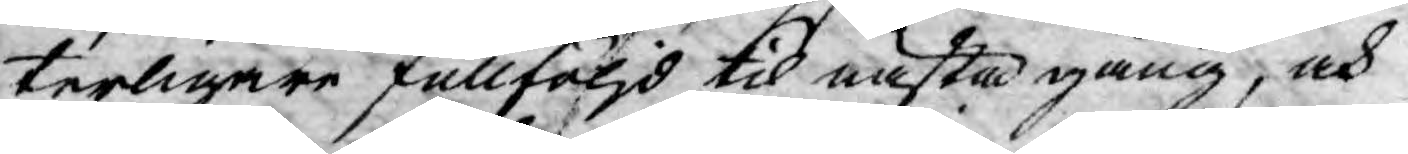terligare fullföljd til nästa gång, och
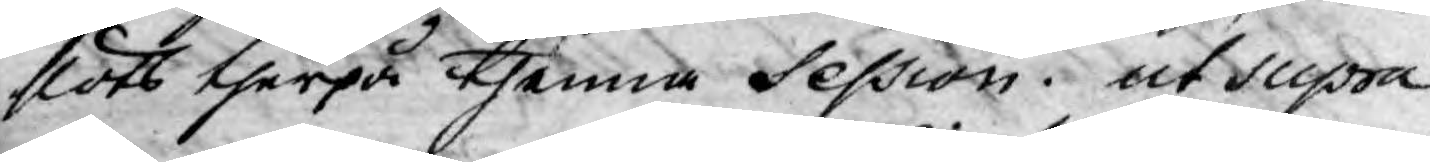slöts therpå thenna Session. ut Supra
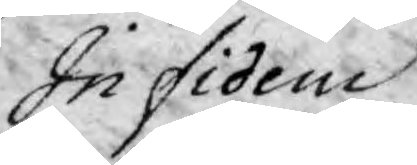In fidem
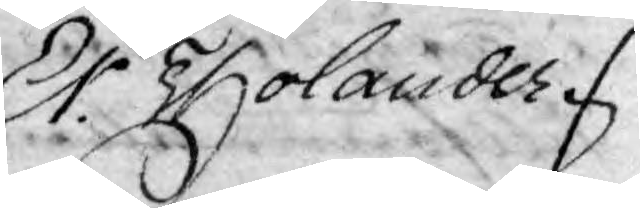Er. Tholander
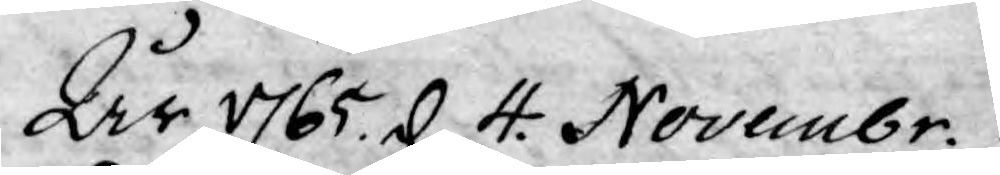År 1765 d. 4. Novembr.
